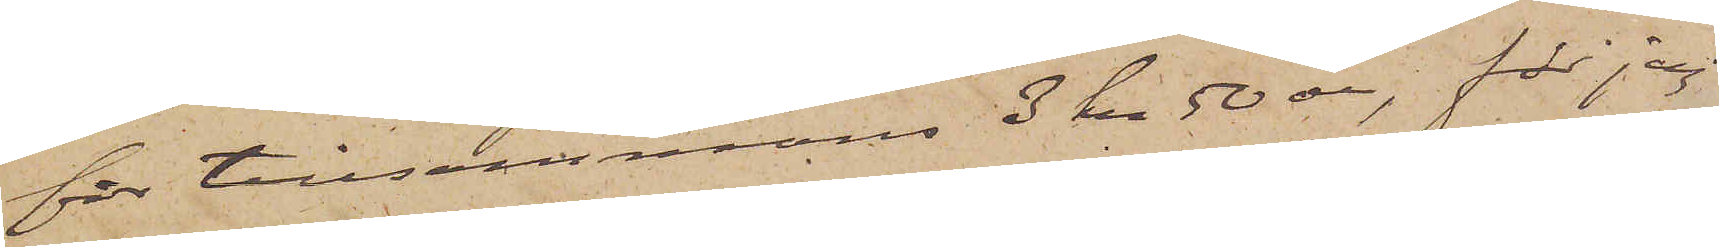för tillsammans 3 kr 50 öre, får jag
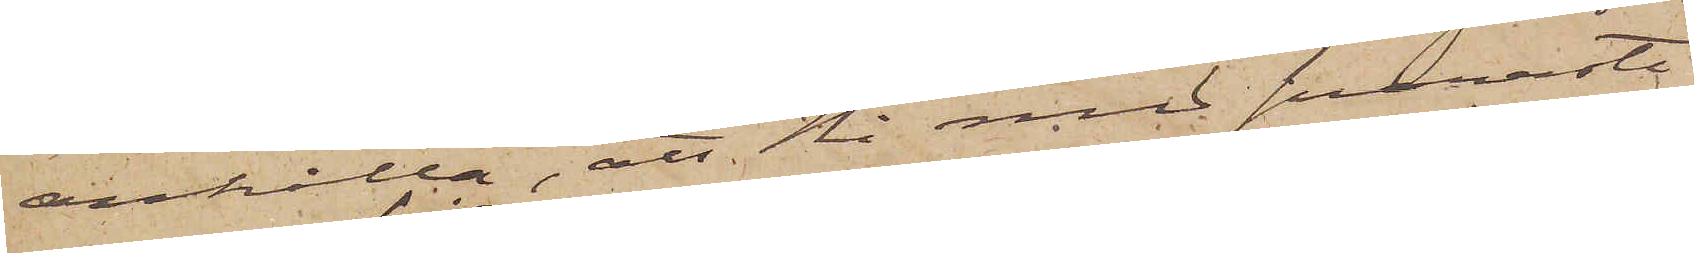anhålla, att Ni med snaraste
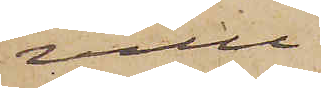ville
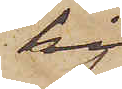hit
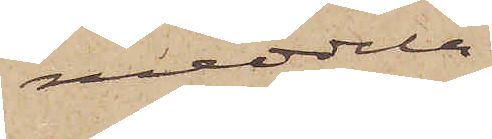meddela
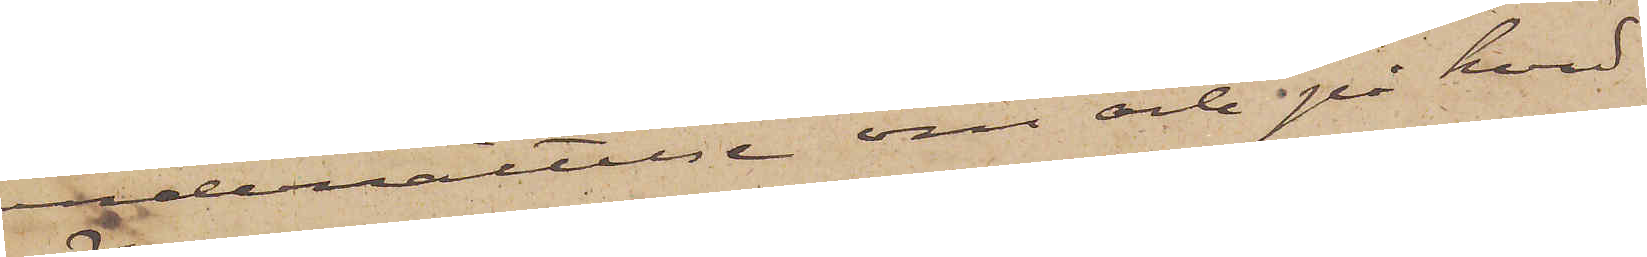underrättelse om och på hvad
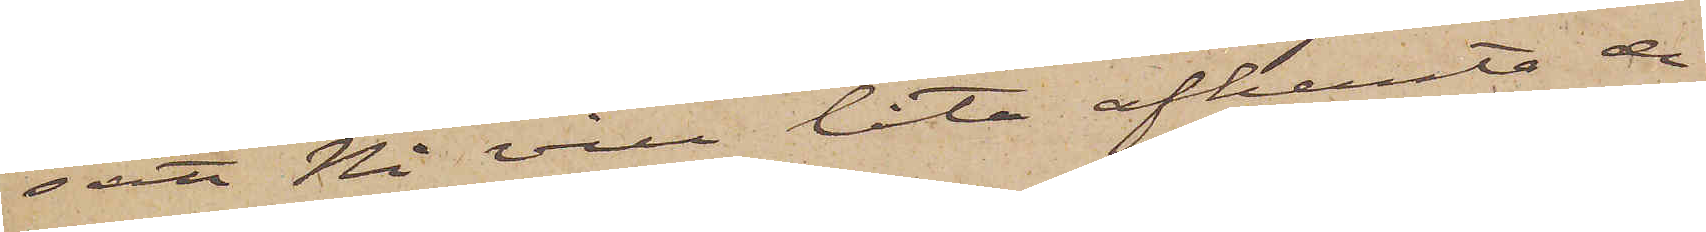sätt Ni vill låta afhemta de
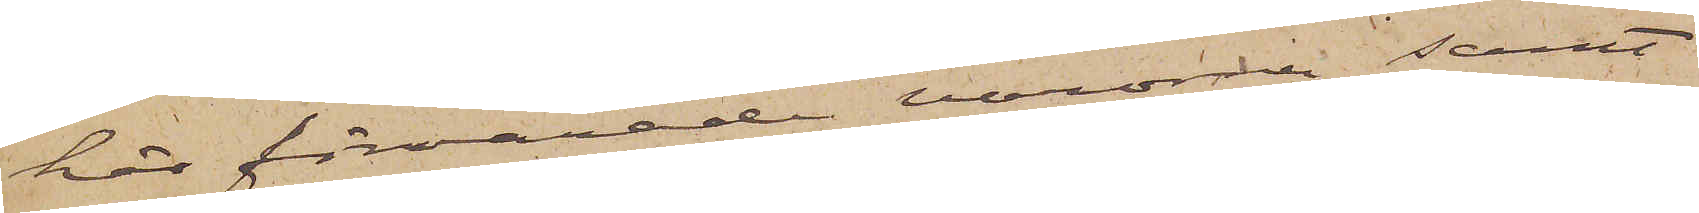här förvarade varorna samt
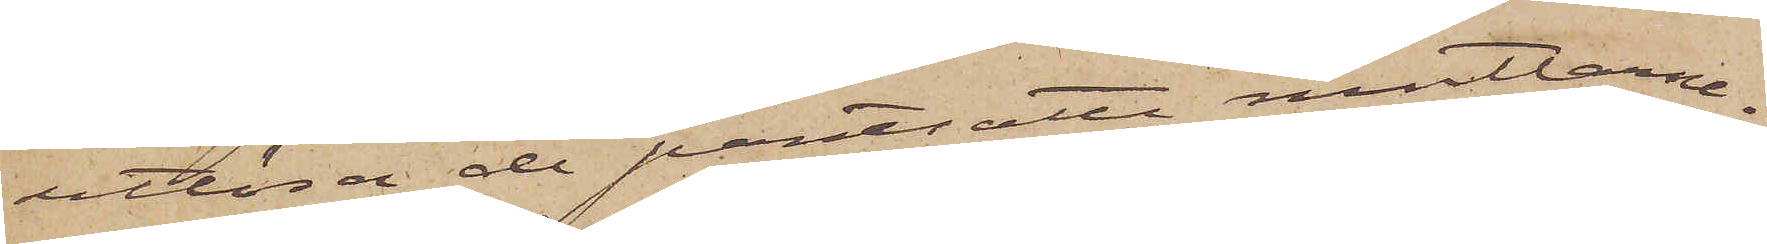utlösa de pantsatte mortlarne.
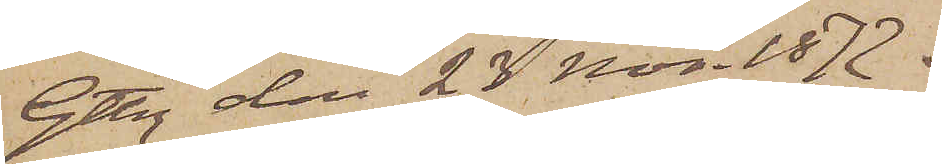Gtbg den 23 Nov. 1877.
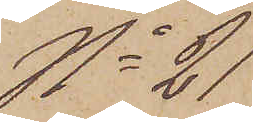No 21
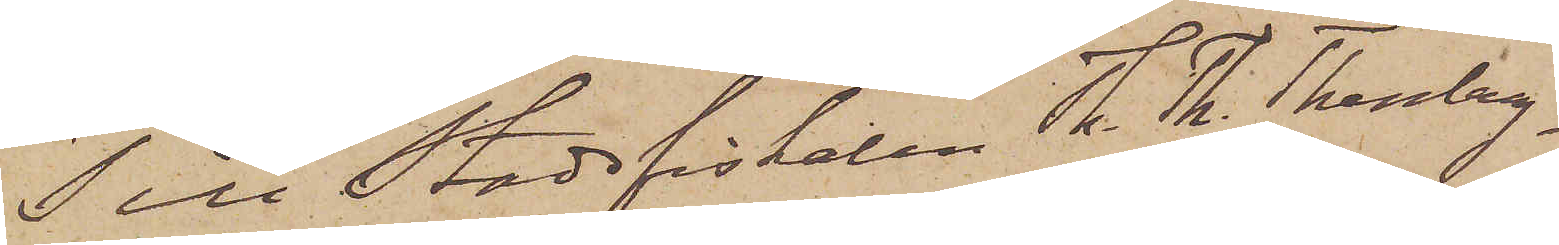Till Stadsfiskalen Th. Th. Thenbag,
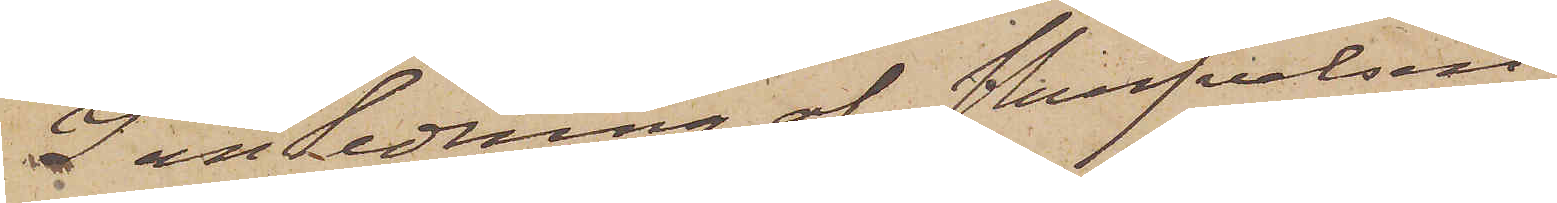I anledning af skrifvelsen
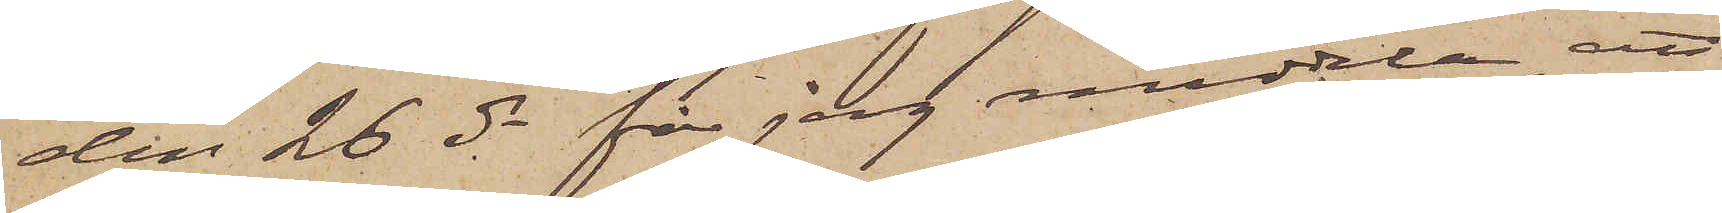den 26 ds får jag meddela, att
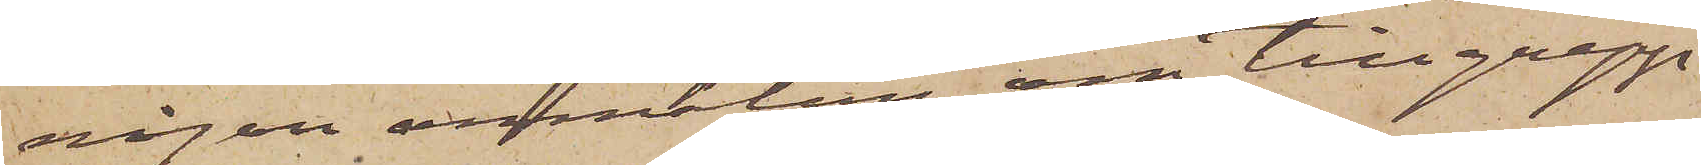någon anmälan om tillgrepp
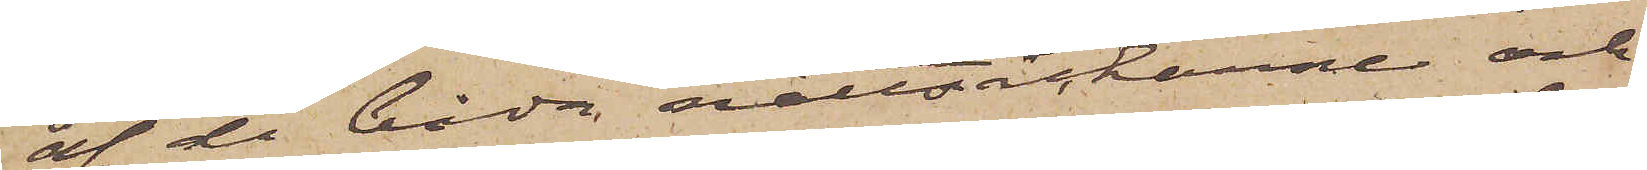af de båda nattsäckarne och
